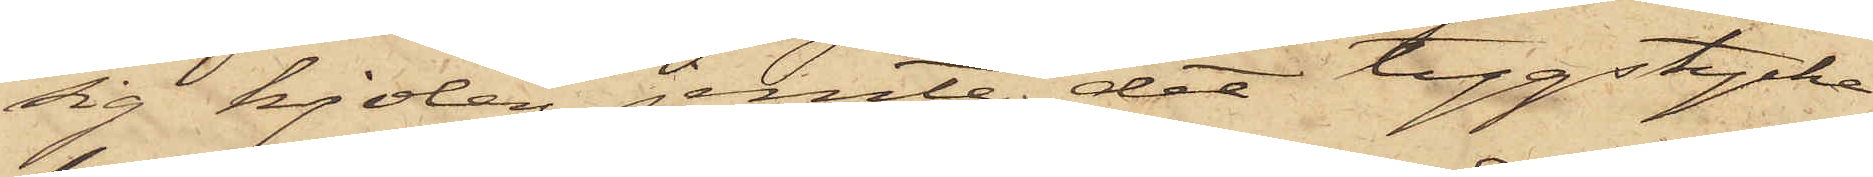sig kjolen jemte det tygstycke
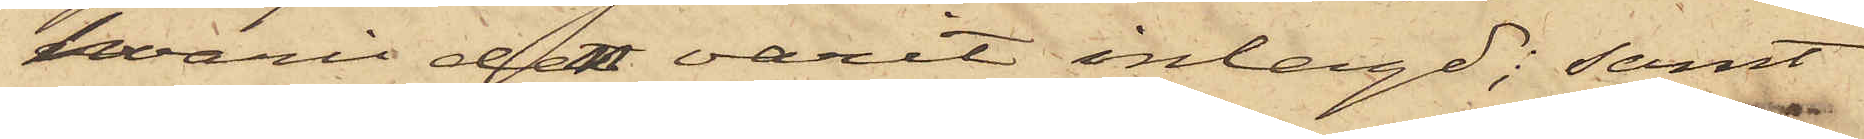hvari den varit inlagd; samt
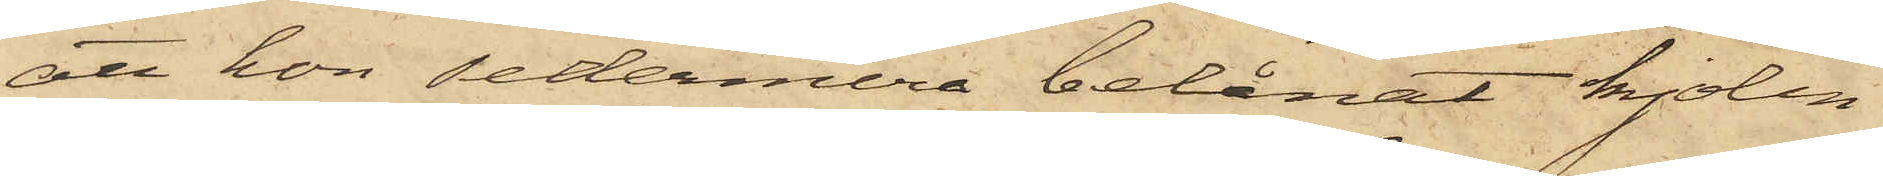att hon sedermera belånat kjolen
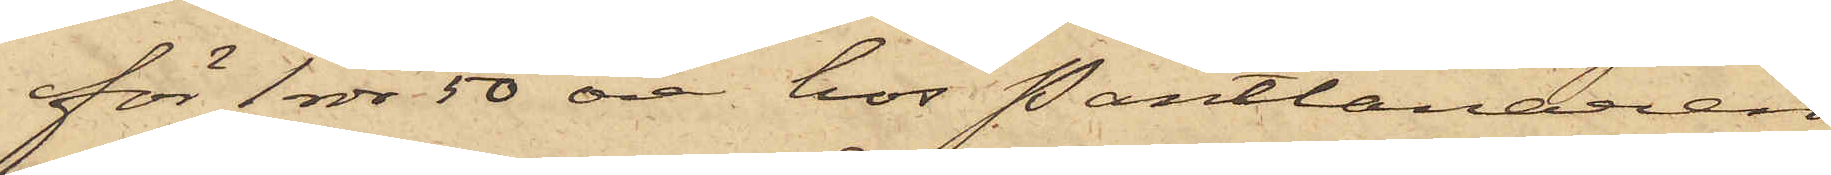för 1 rdr 50 öre hos Pantlånaren
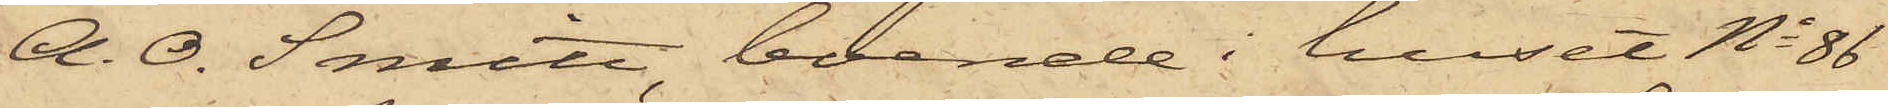A. O. Smitt, boende i huset No 86
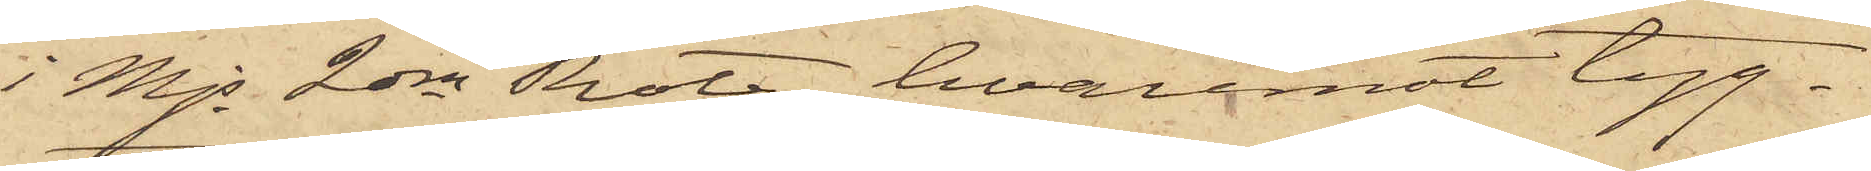i Mjs 2dra Rote, hvaremot tyg¬
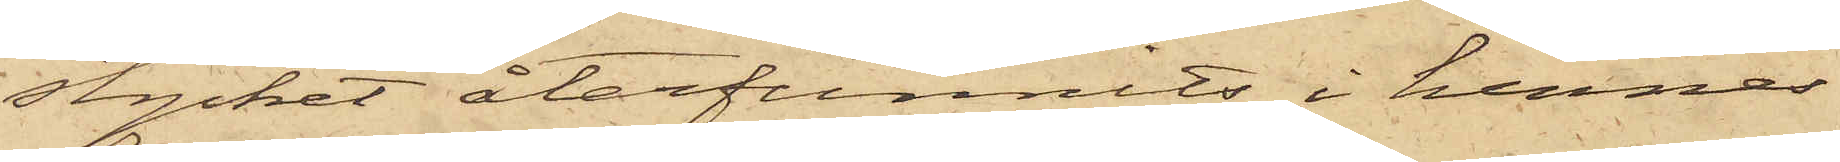stycket återfunnits i hennes
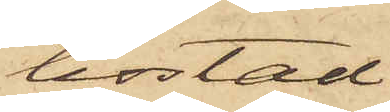bostad.
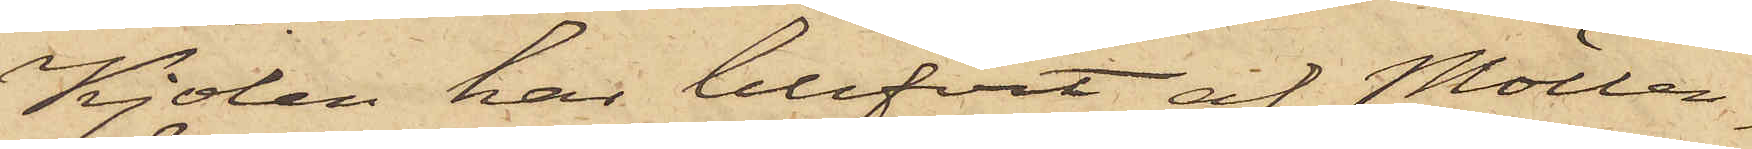Kjolen har blifvit af Möller¬
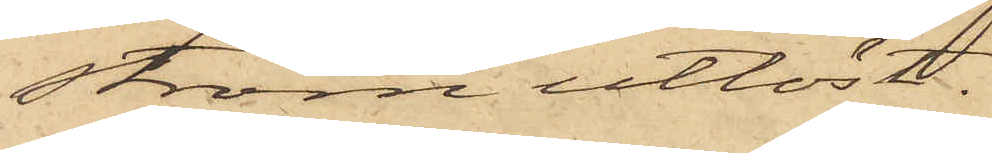ström utlöst.
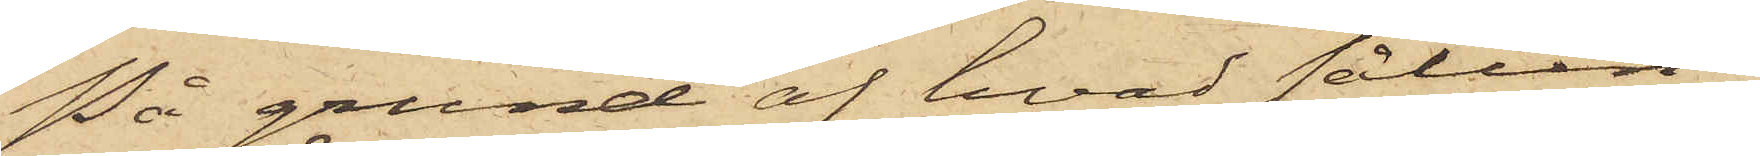På grund af hvad sålun¬
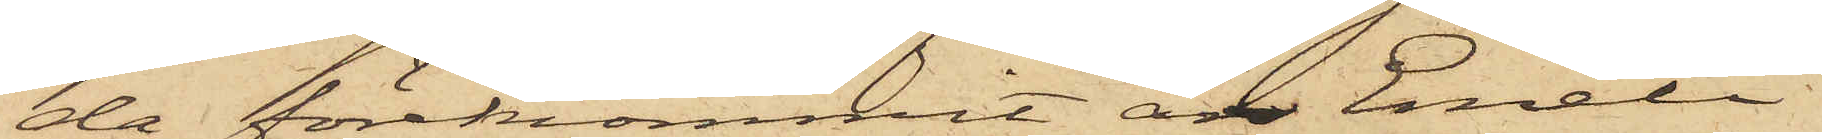da förekommit, är Emeli
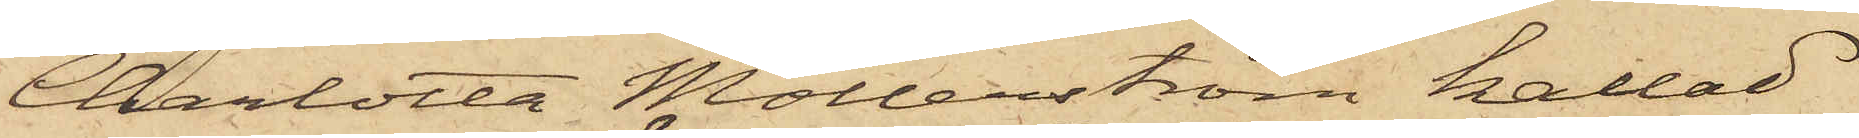Charlotta Möllerström kallad
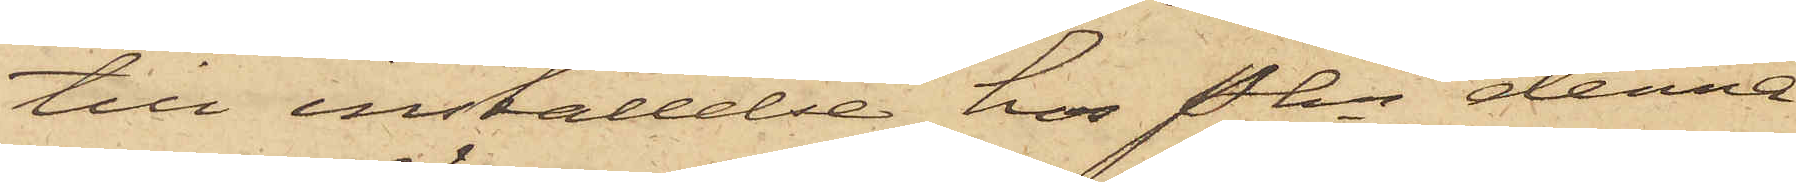till inställelse hos Pkn denna
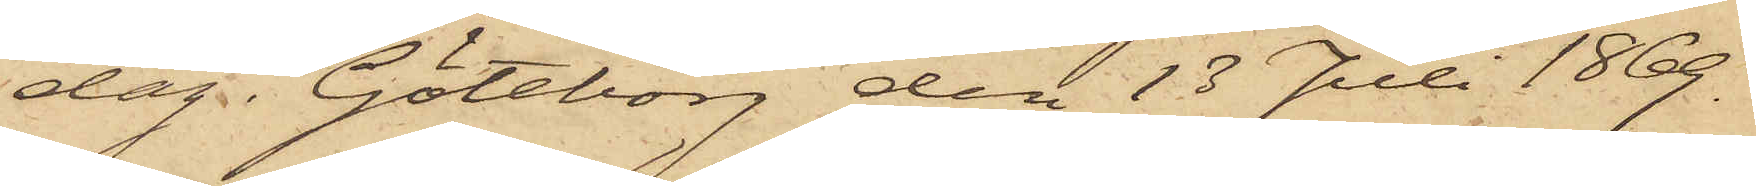dag. Göteborg den 13 Juli 1869.
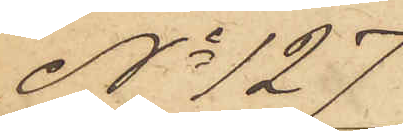No 127
